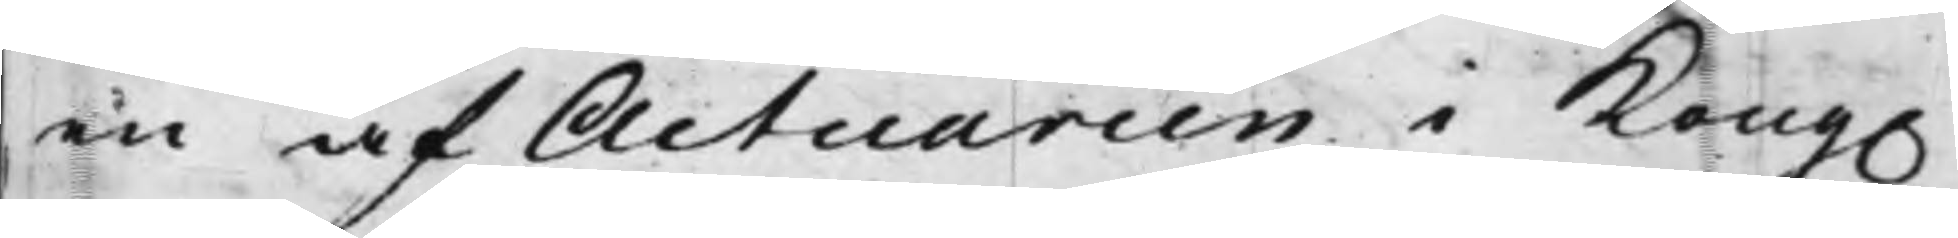en af Actuarien i Kong.
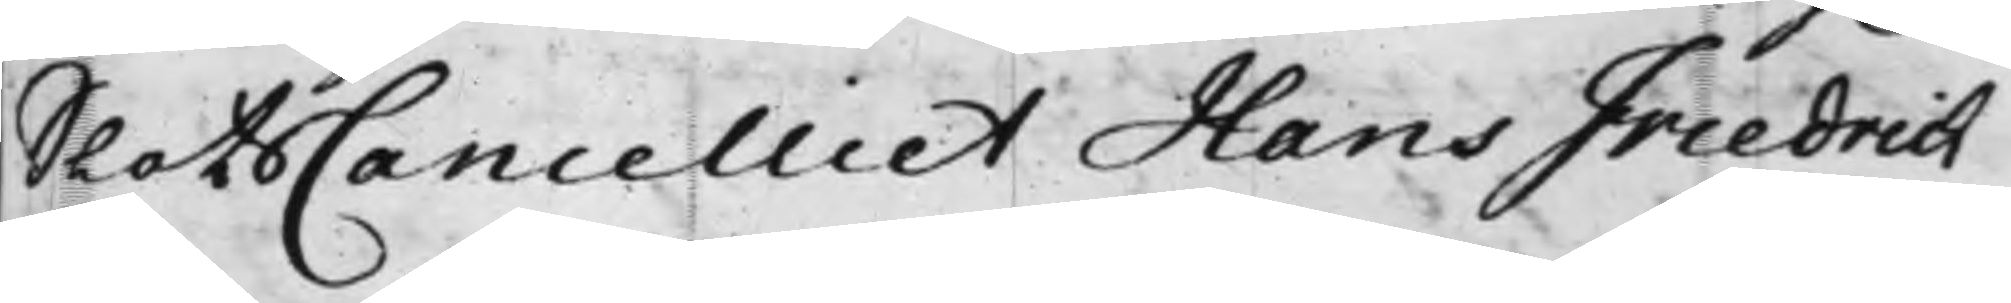SlotsCancelliet Hans Friedrich
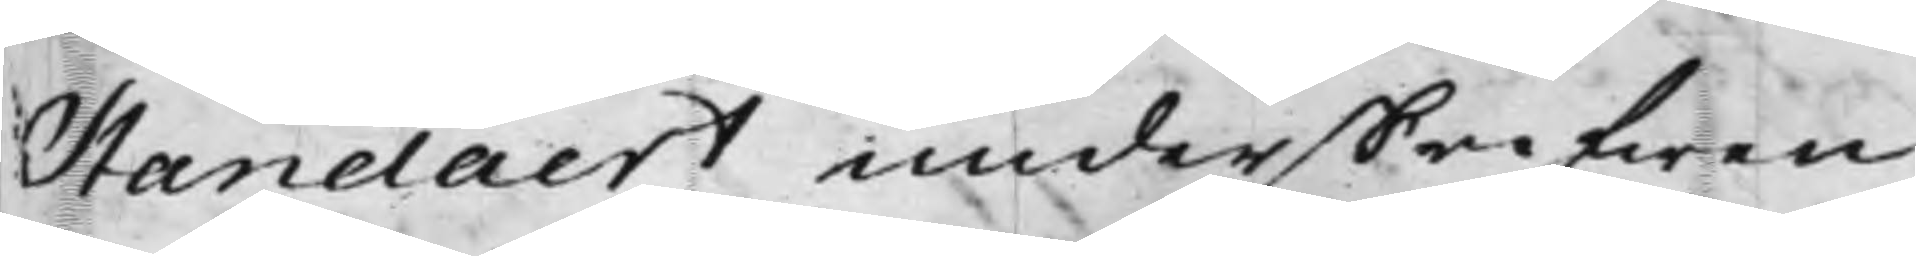Standaert underskrifwen
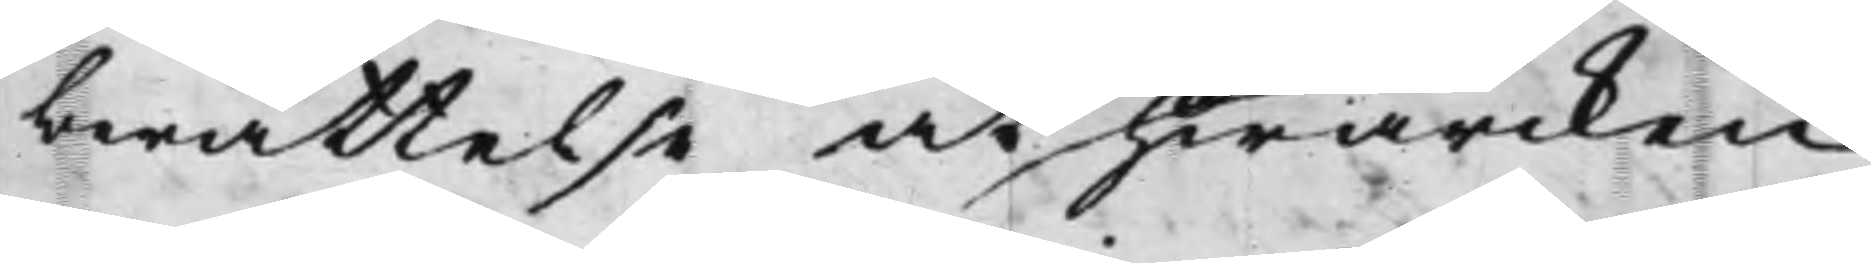berättelse at hwarcken
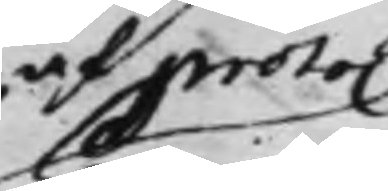af proto.n
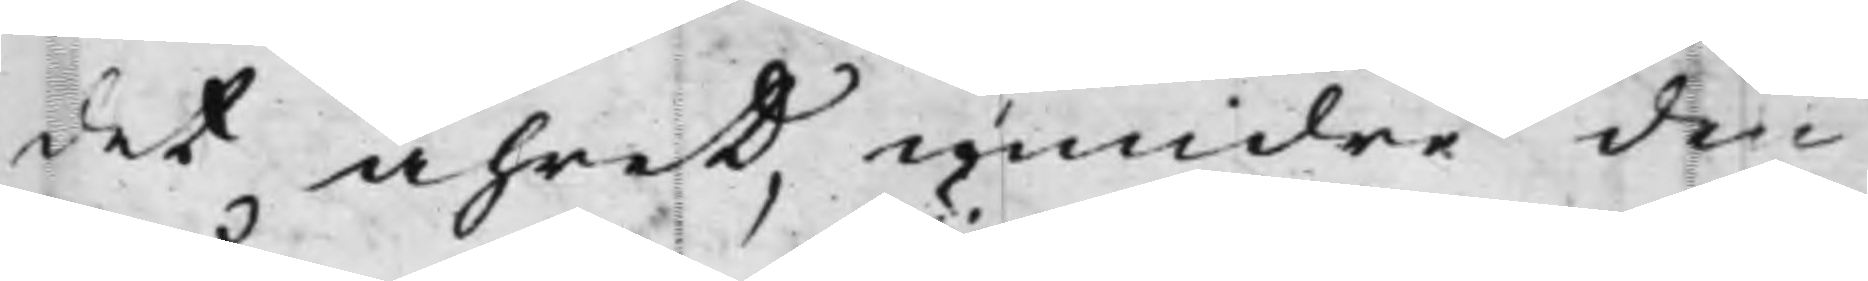det åhret, mindre de
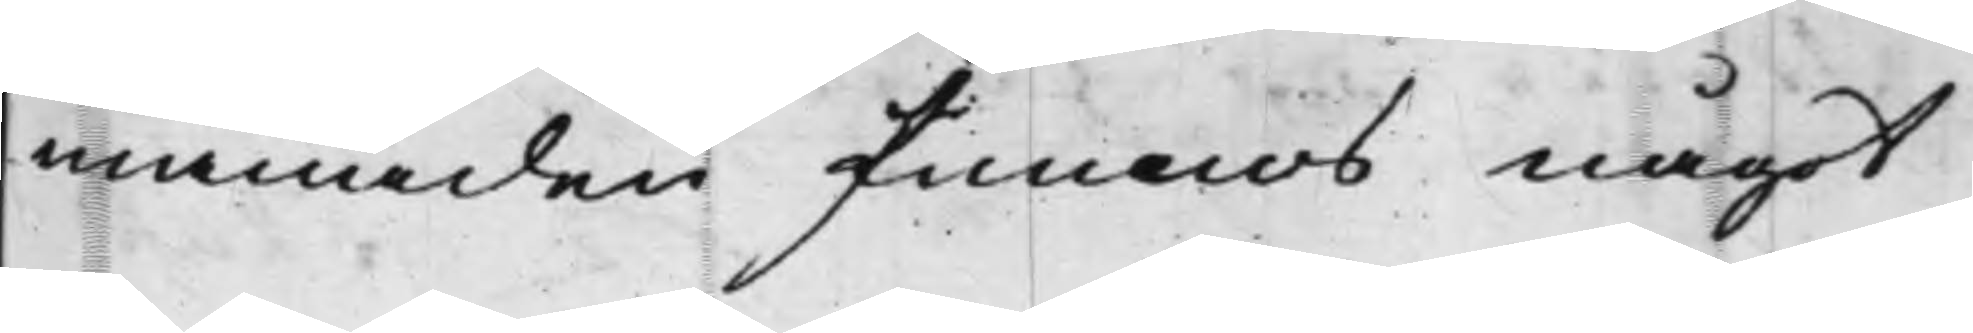månader funnos något
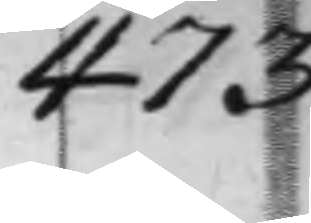473
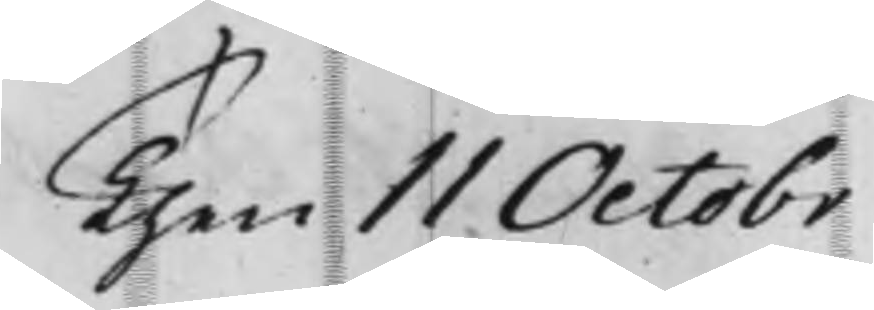Then 11 Octobr
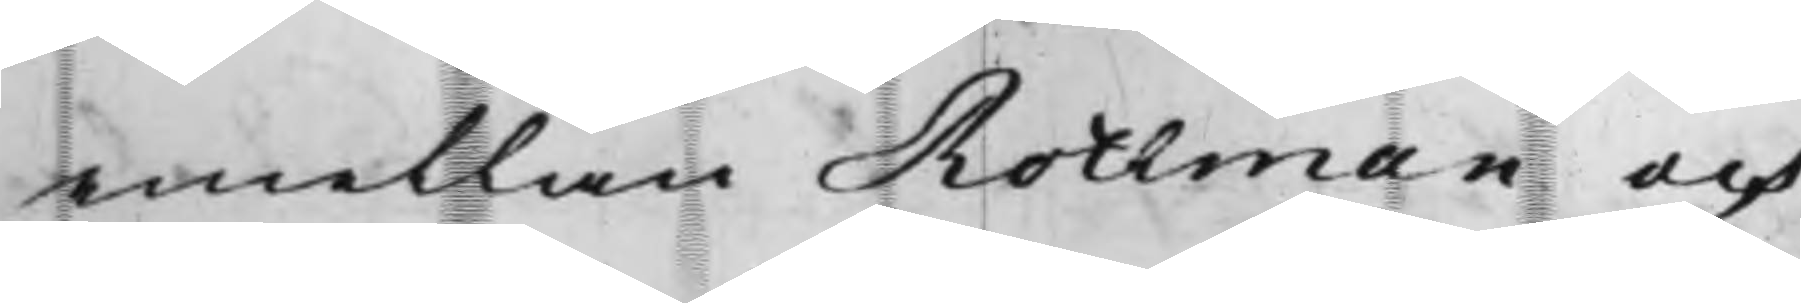emellan Rothman och
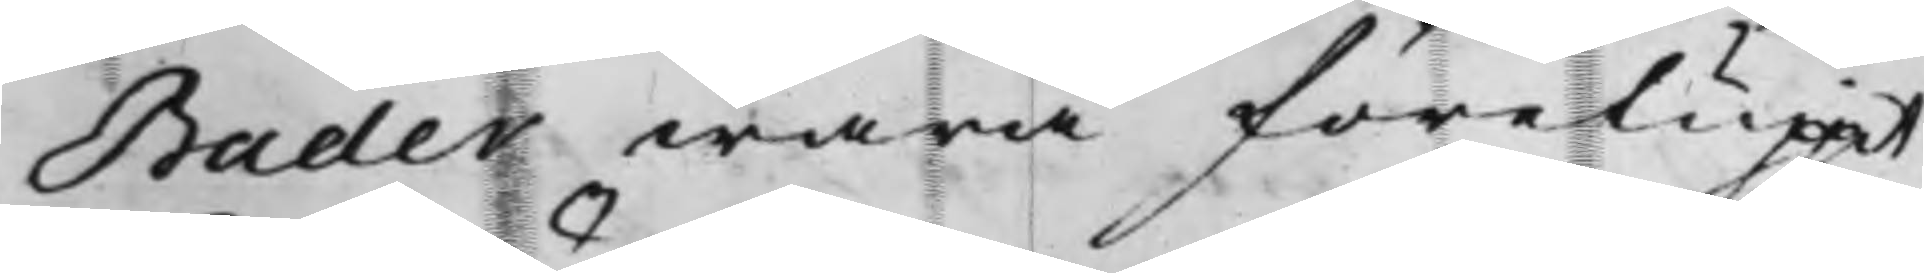Bader wara föreluppit
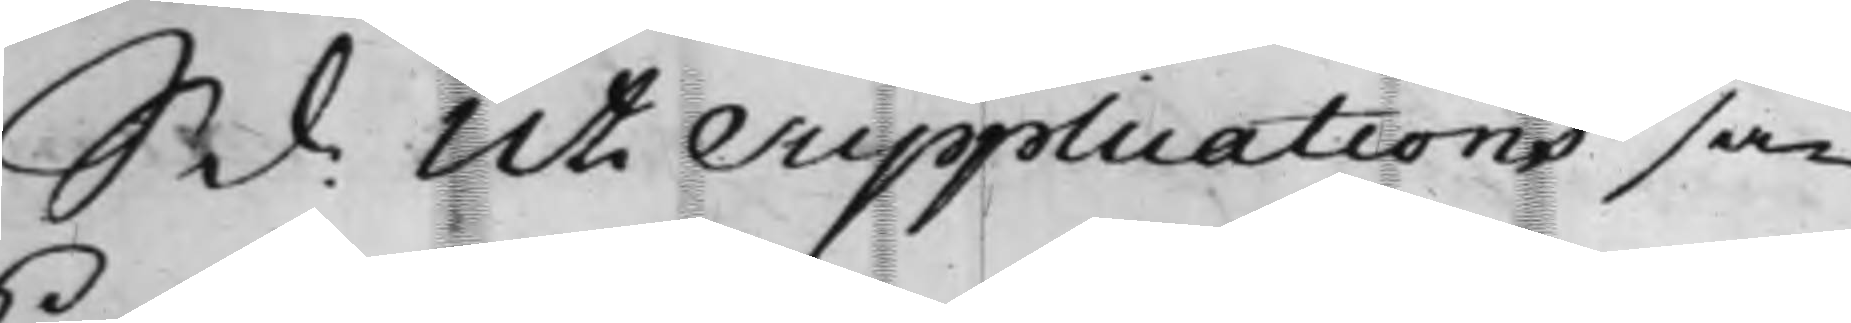S. d: Uti Supplications sa¬
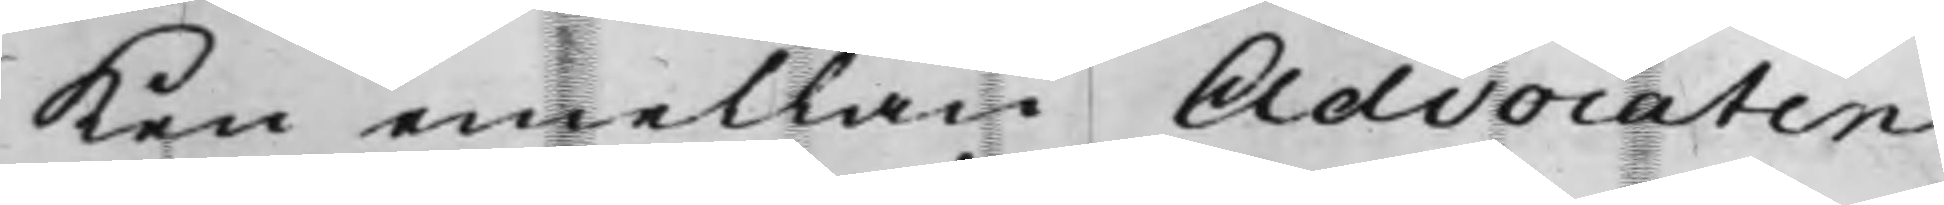ken emellan Advocaten
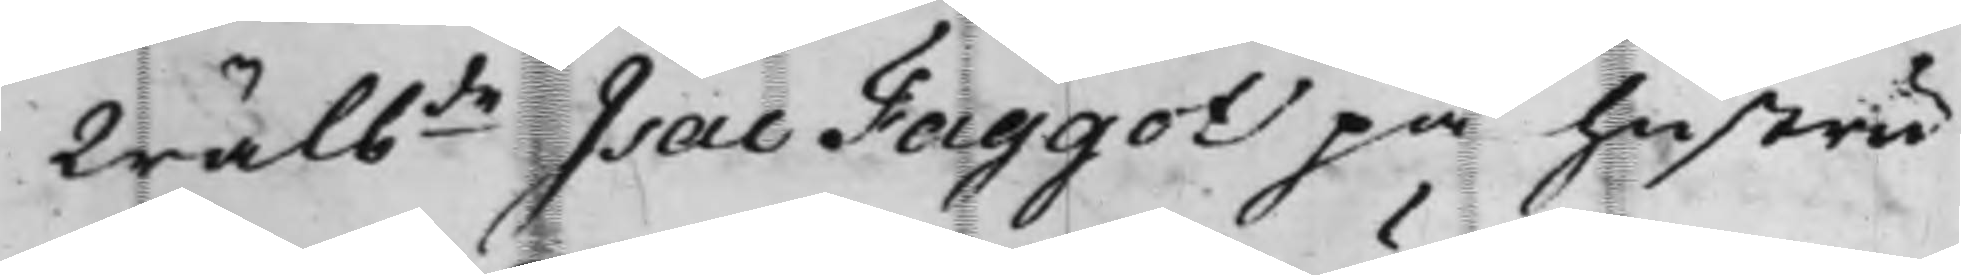Wälbde Isac Faggot på hustru
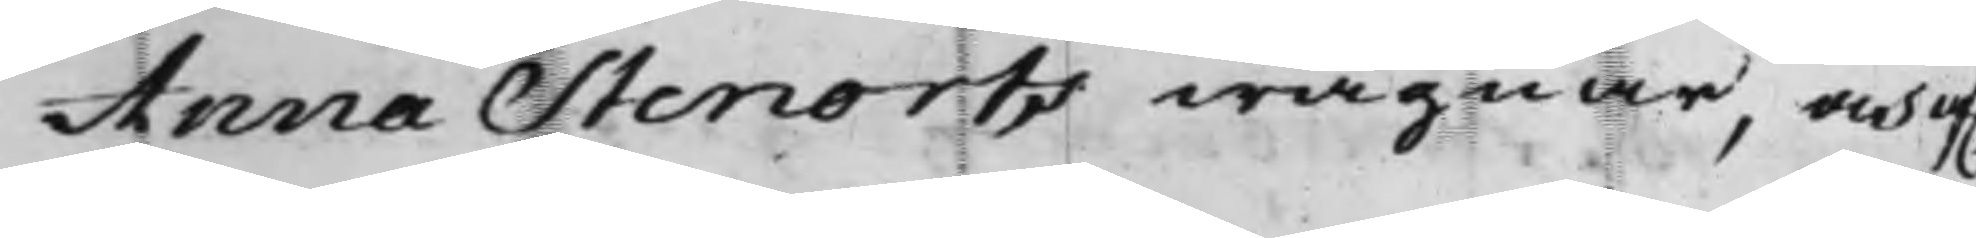Anna Stenorts wägnar, och af.
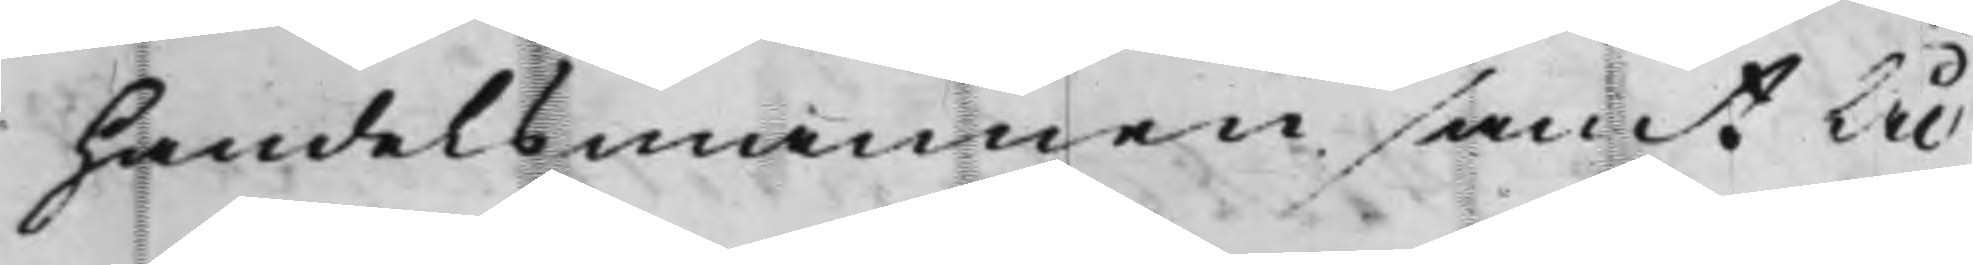Handelsmannen samt Ål¬
